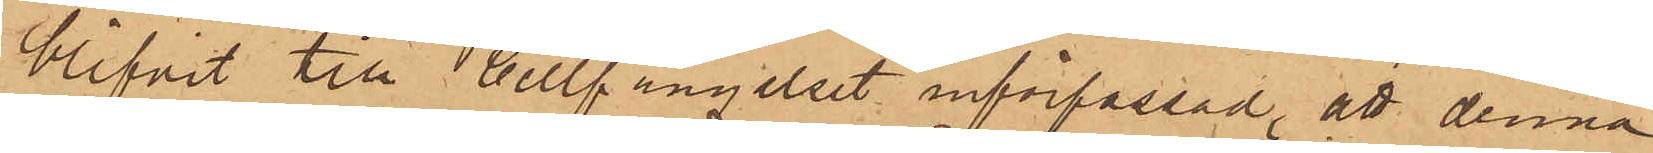blifvit till Cellfängelset införpassad, att denna
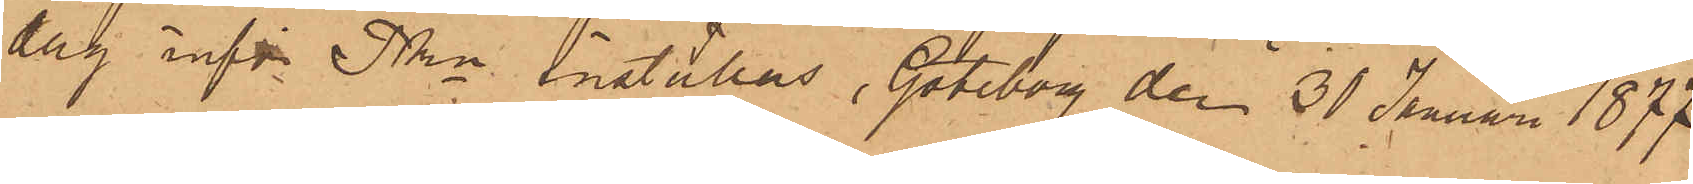dag inför Pkn inställas. Göteborg den 31 Januari 1877
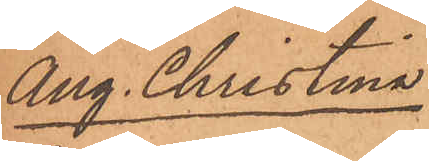Ang. Christina
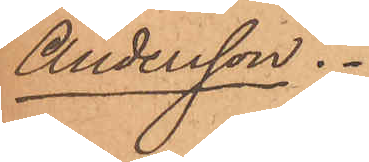Andersson.
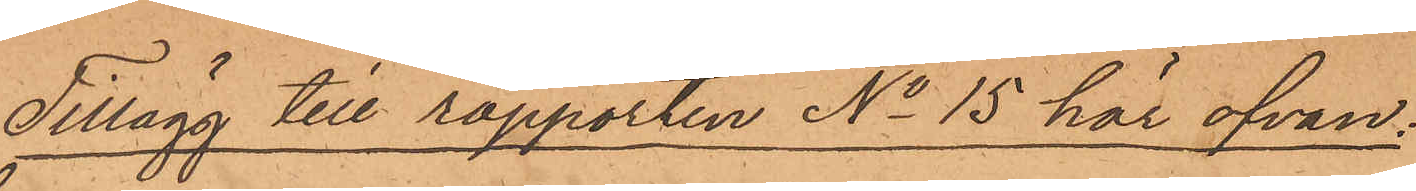Tillägg till rapporten No 15 här ofvan¬
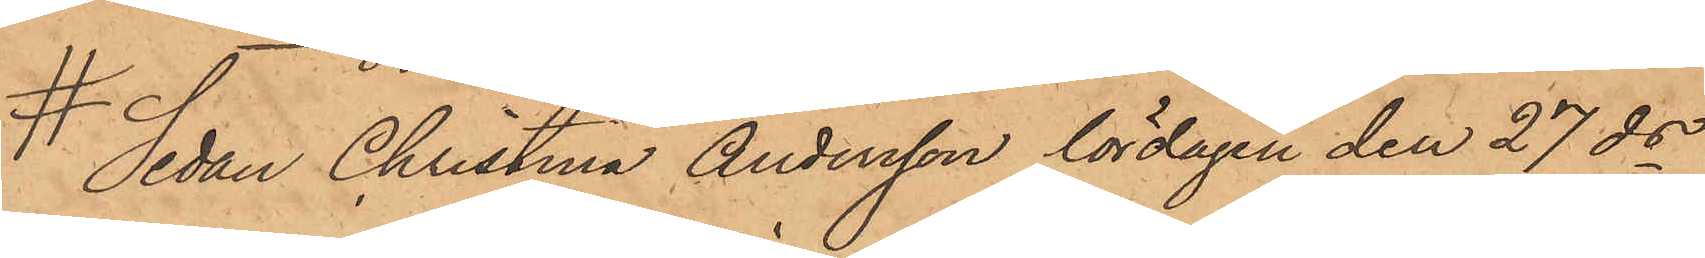# Sedan Christina Andersson lördagen den 27 ds
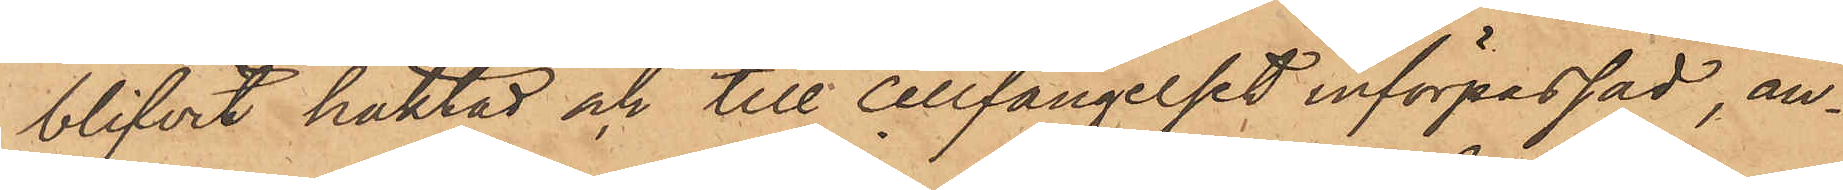blifvit häktad och till cellfängelset införpassad, an¬
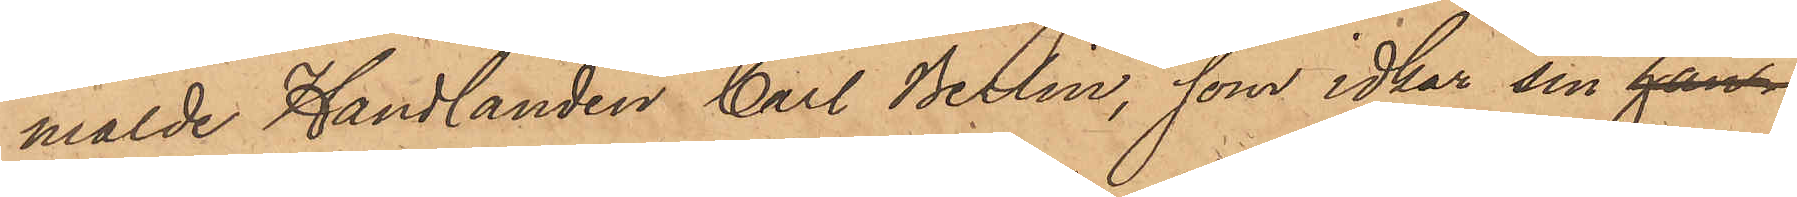mälde Handlanden Carl Berlin, som idkar sin hans
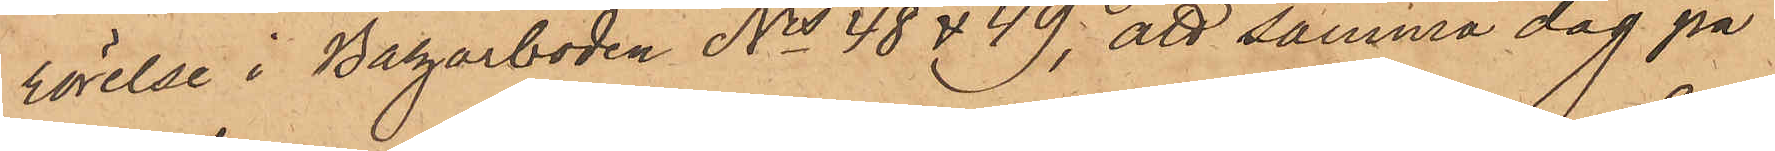rörelse i Bazarboden No 48 & 49; att samma dag på
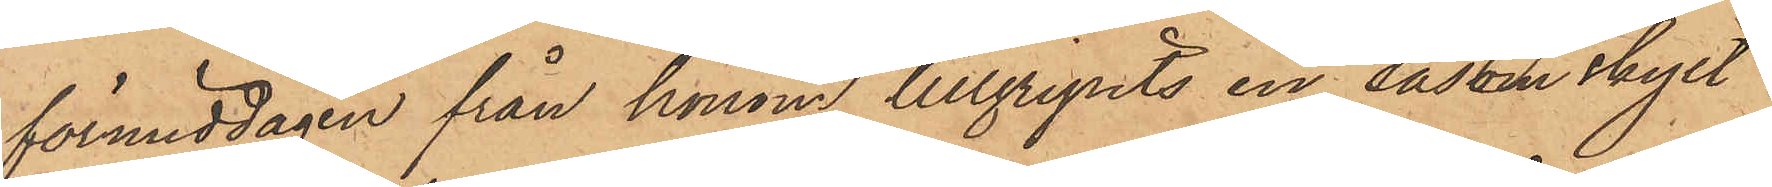förmiddagen från honom tillgripits en såsom skylt
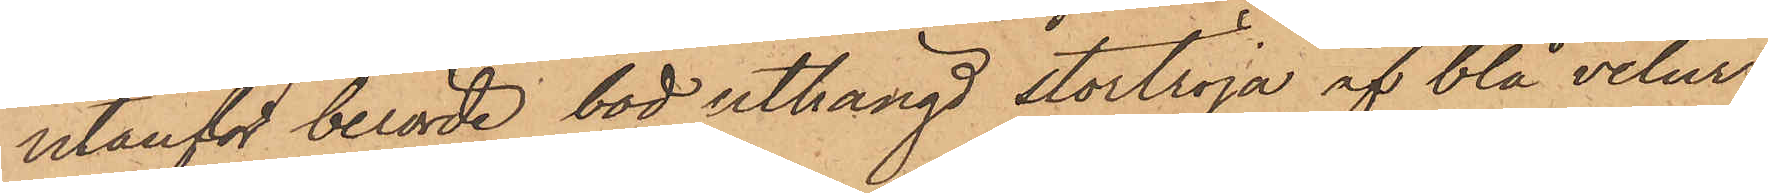utanför berörde bod uthängd stortröja af blå velur
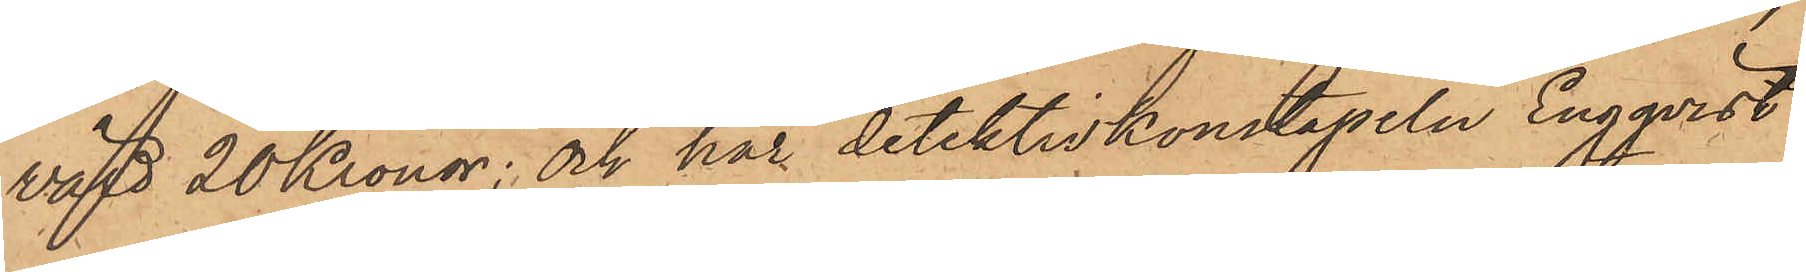värd 20 Kronor; och har detektivkonstapeln Engqvist
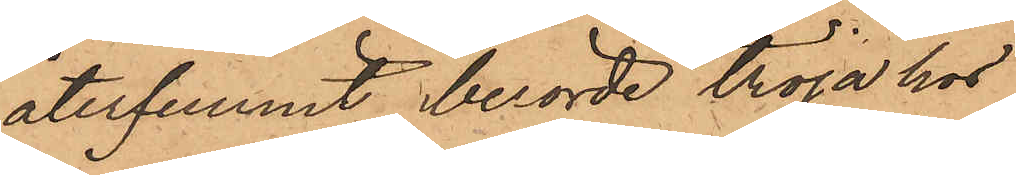återfunnit berörde tröja hos
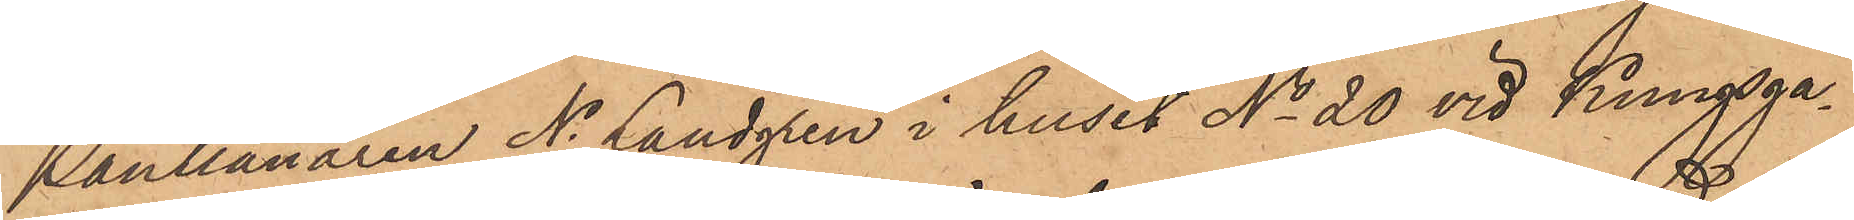Pantlånaren N. Landgren i huset No 20 vid Kungsga¬
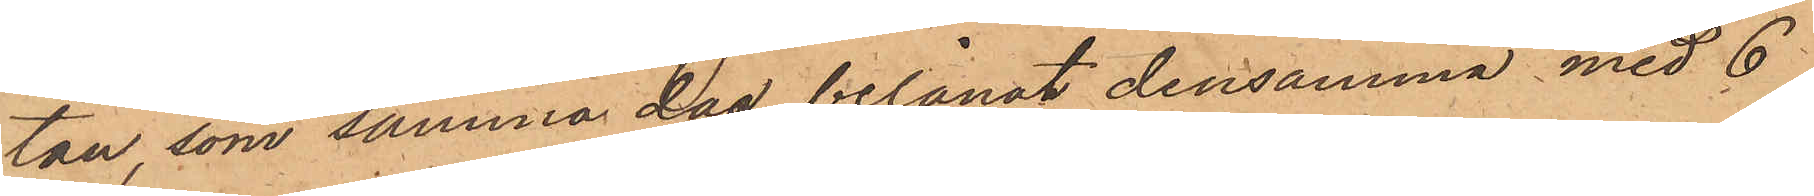tan, som samma dag belånat densamma med 6
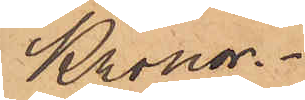Kronor.
